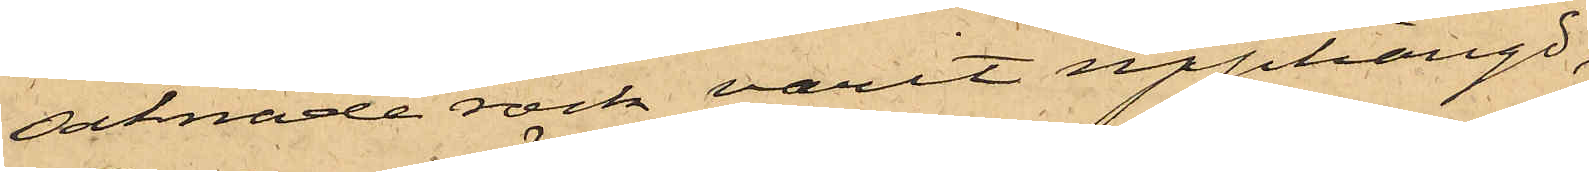saknade rock varit upphängd;
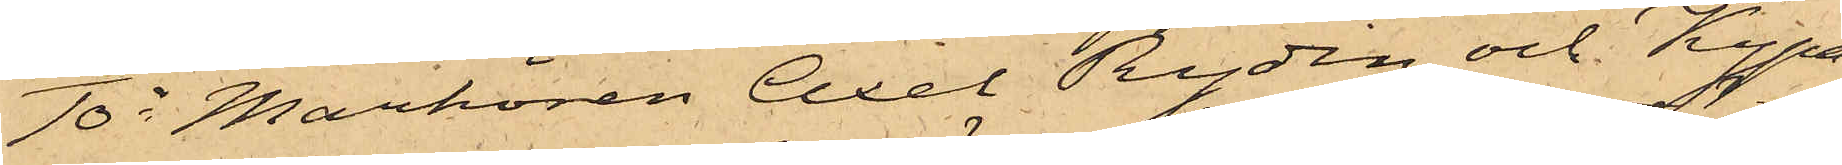10o Markören Axel Rydin och Kypa¬
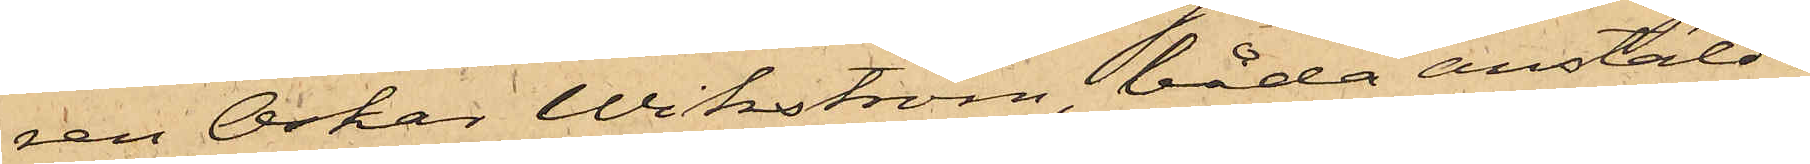ren Oskar Wikström, båda anstälde
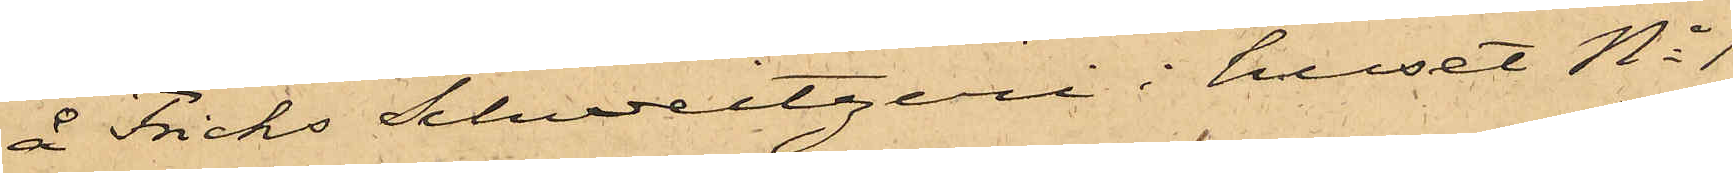å Fricks Schweitzeri i huset No 1
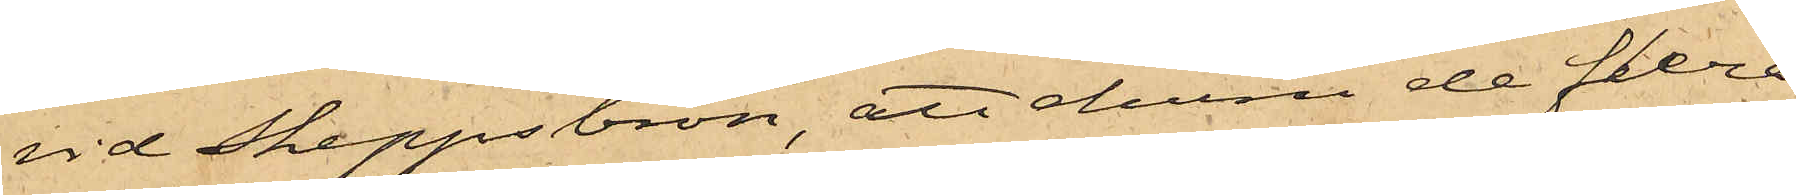vid Skeppsbron, att ehuru de flera
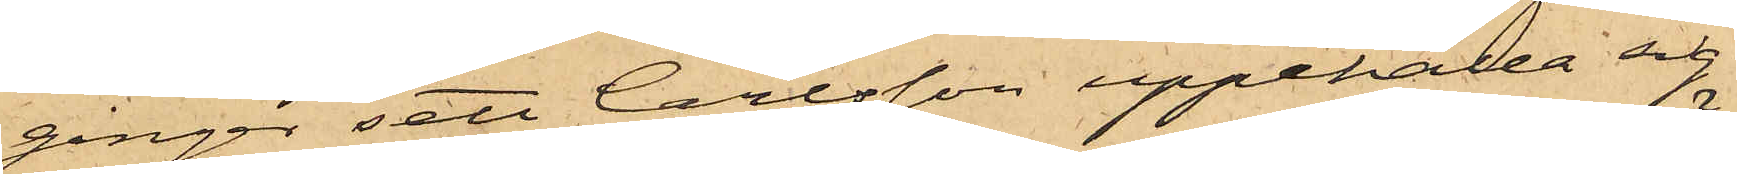gånger sett Carlsson uppehålla sig
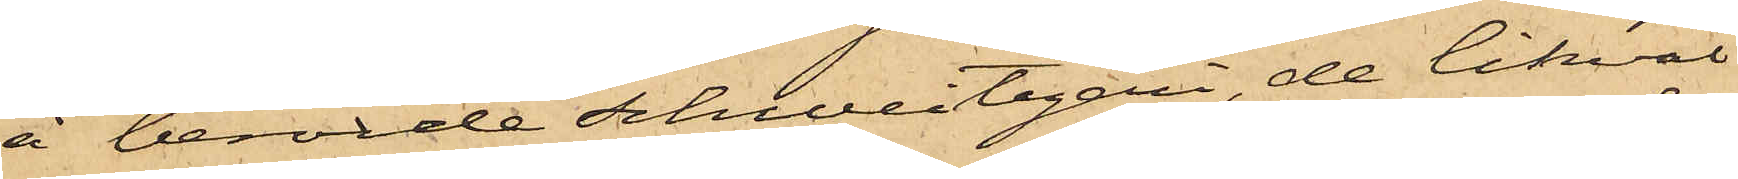å berörde Schweitzeri, de likväl
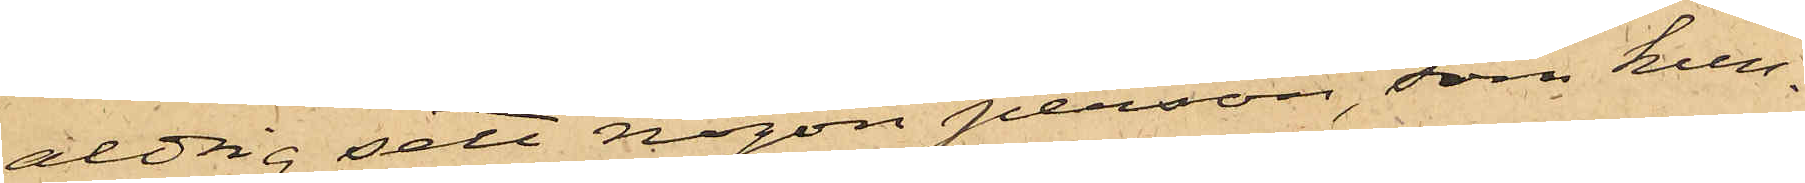aldrig sett någon person, som kun¬
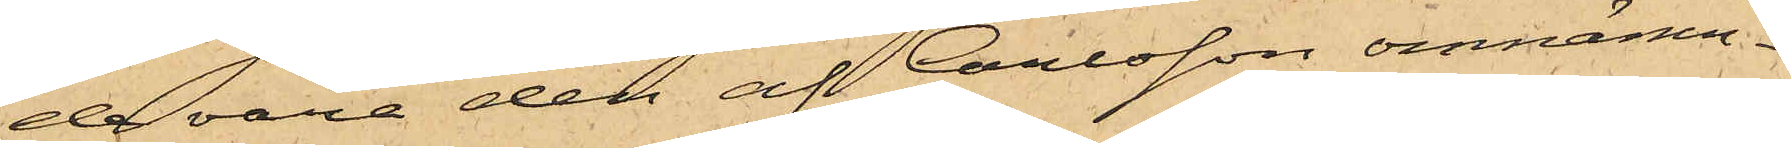de vara den af Carlsson omnämn¬
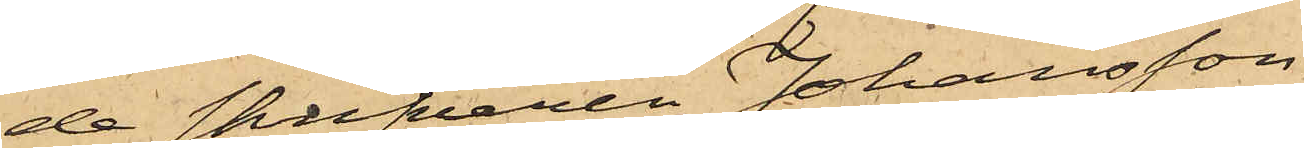de skrifvaren Johansson.
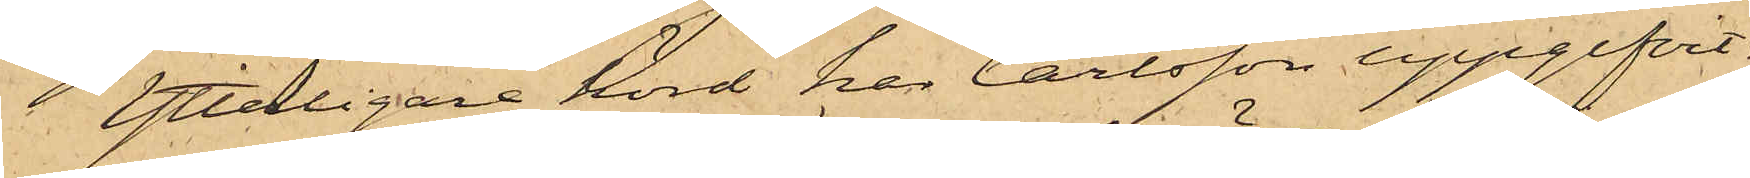Ytterligare hörd har Carlsson uppgifvit,
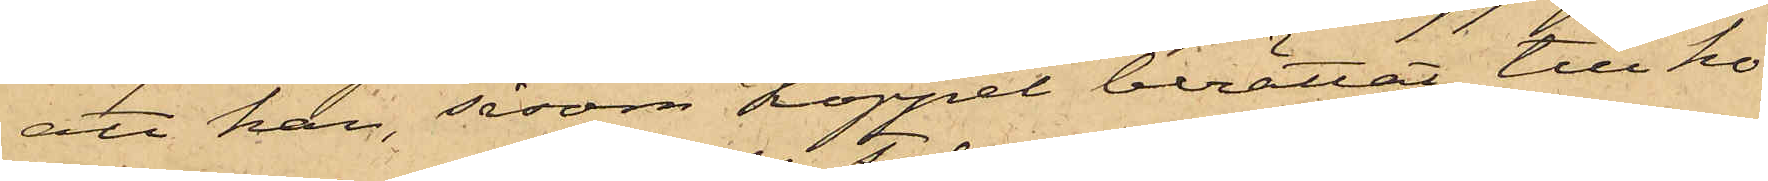att han, såsom Koppel berättat, till ho¬
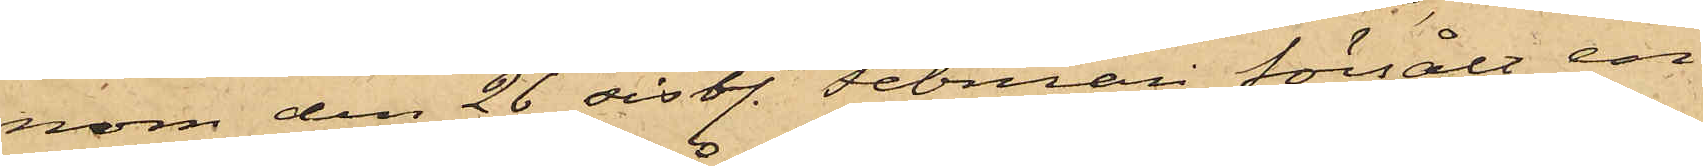nom den 26 sistl. Februari försålt en
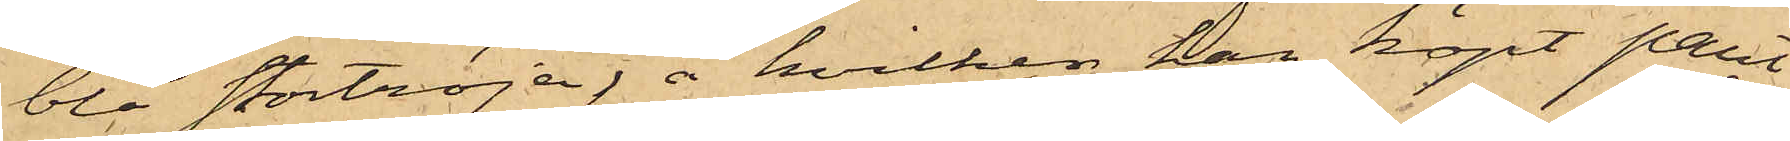blå stortröja, å hvilken han köpt pant¬
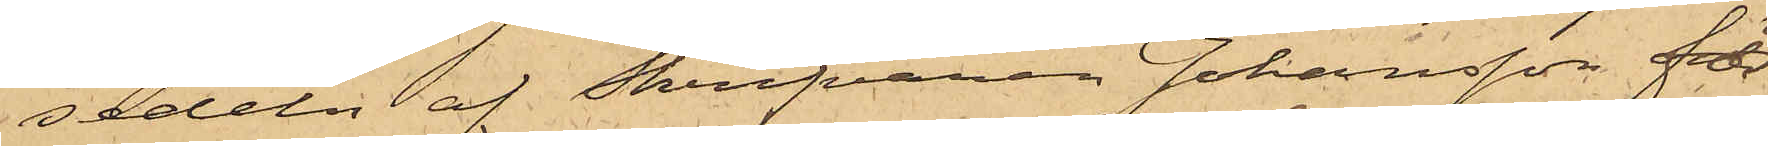sedeln af Skrifvaren Johansson för
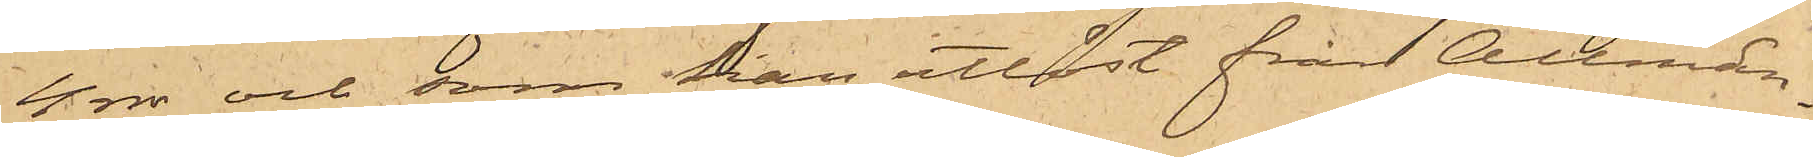4 rdr och som han utlöst från Allmän¬
